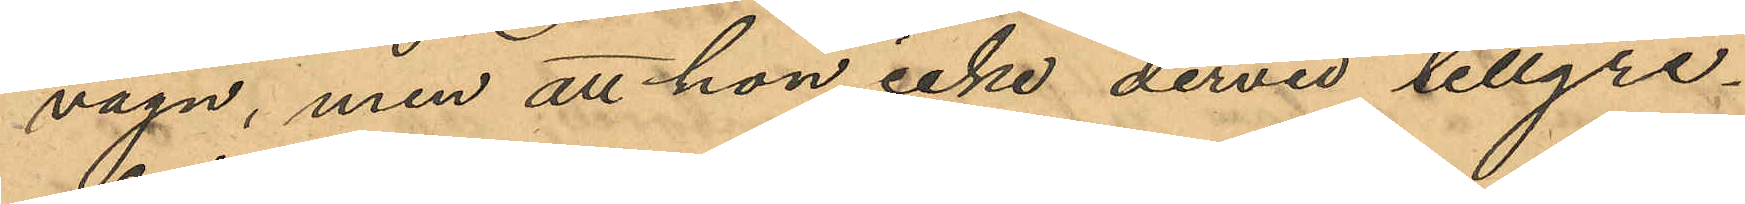vagn, men att hon icke dervid tillgri¬
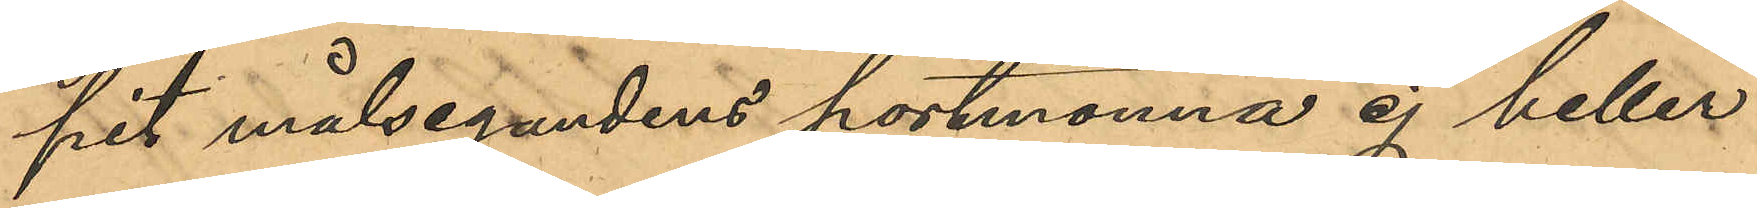pit målsegandens portmonnä ej heller
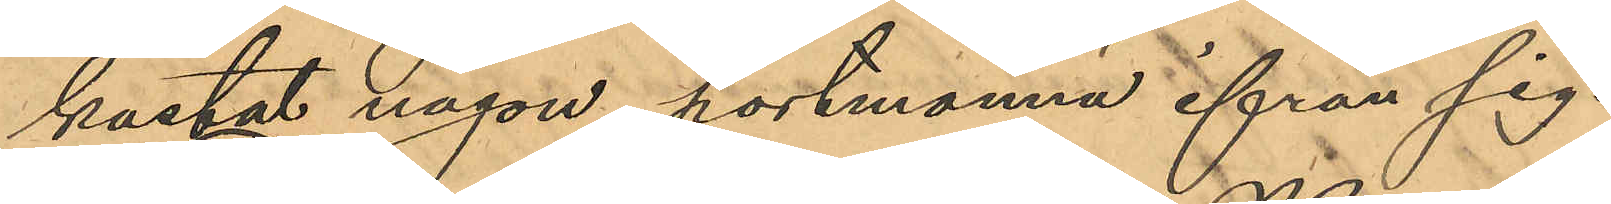kastat någon portmonnä ifrån sig.
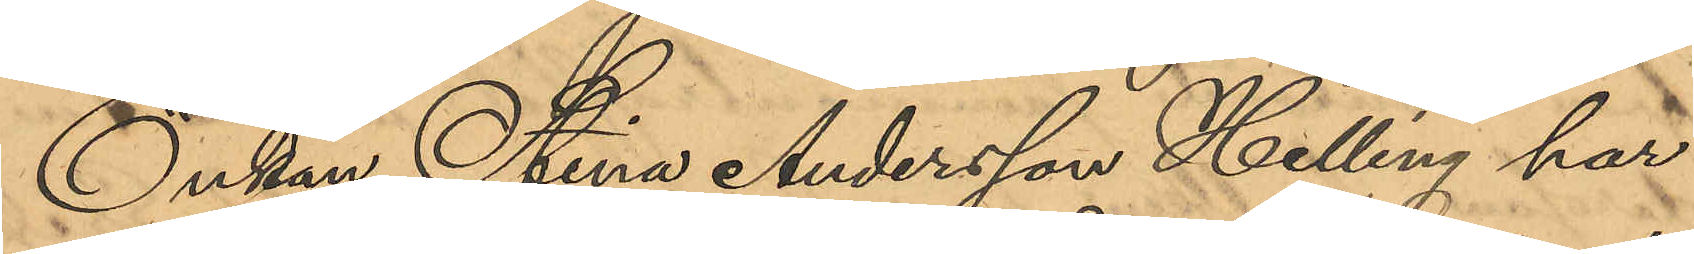Enkan Stina Andersson Helling har
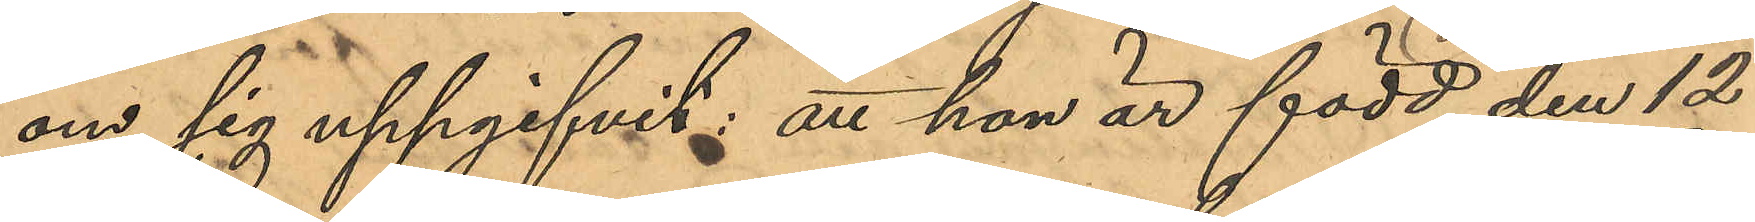om sig uppgifvit: att hon är född den 12
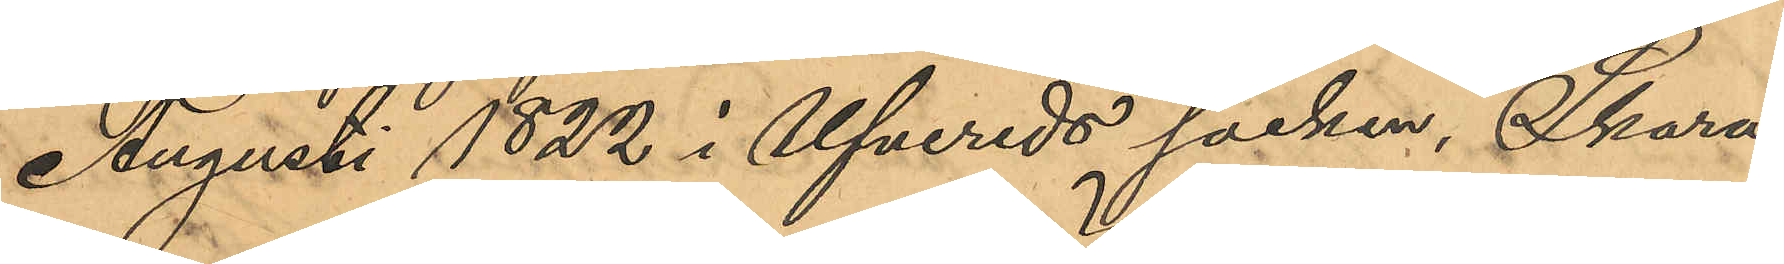Augusti 1822 i Ufvereds socken, Skara¬
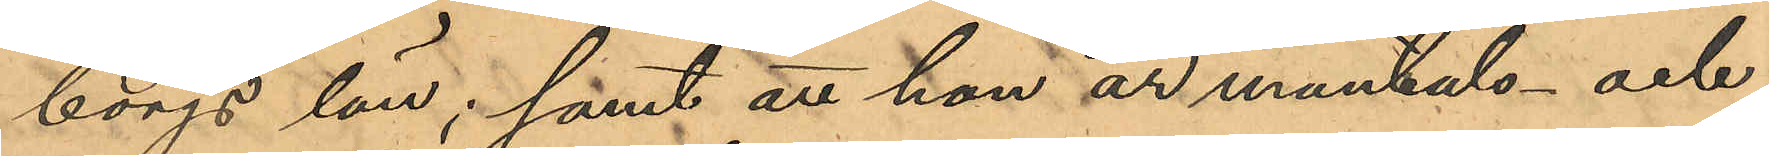borgs län; samt att hon är mantals- och
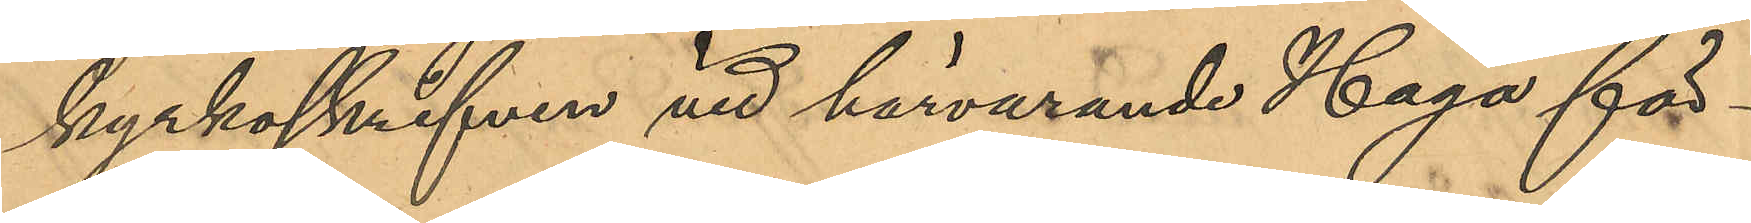kyrkoskrifven vid härvarande Haga för¬
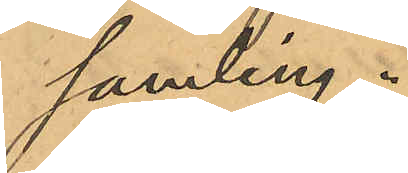samling.
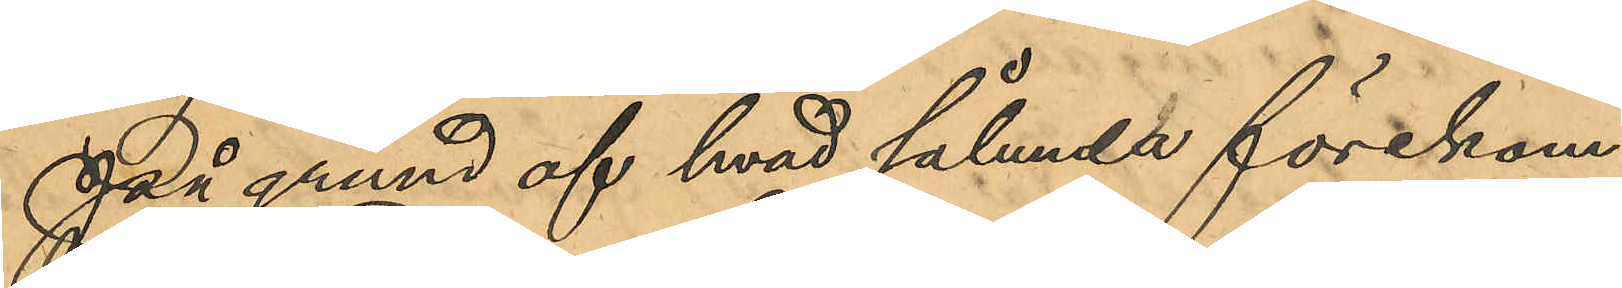På grund af hvad sålunda förekom¬
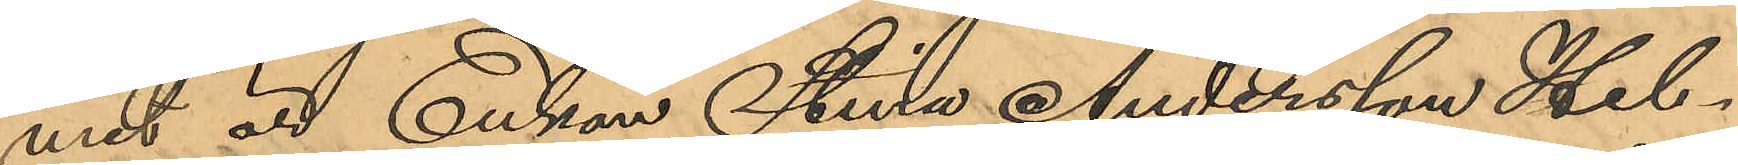met är Enkan Stina Andersson Hel¬
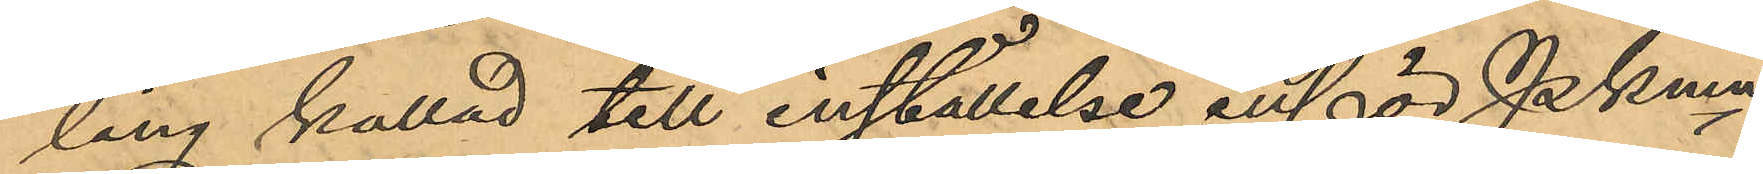ling kallad till inställelse inför PKmn
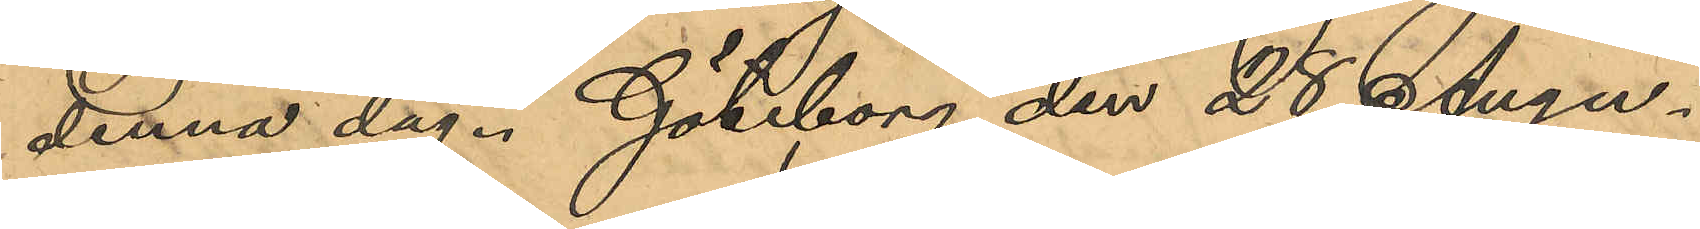denna dag. Göteborg den 28 Augu¬
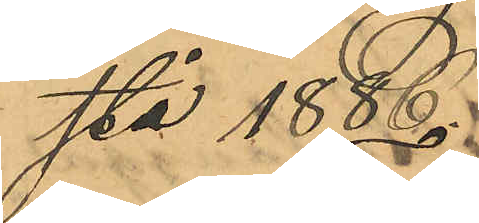stå 1888.
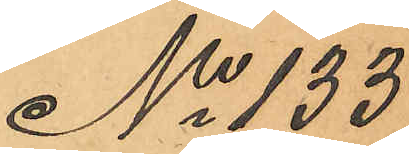No 133
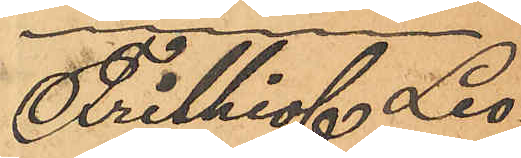Frithiof Leo¬
